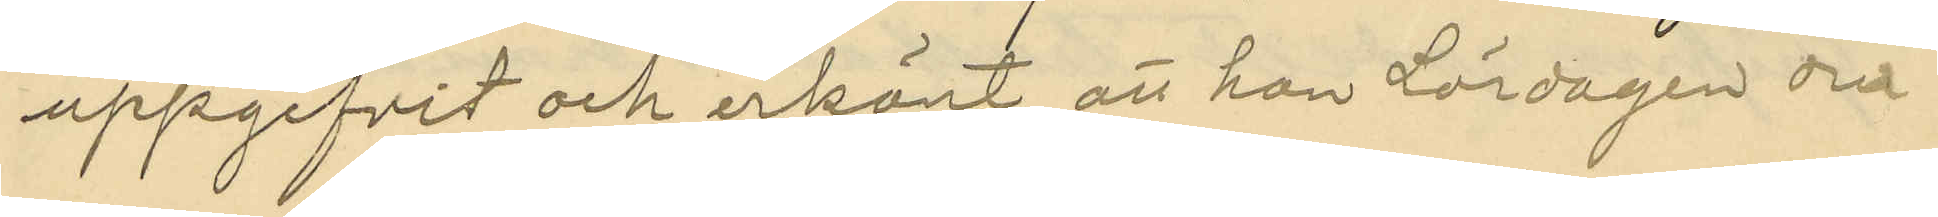uppgifvit och erkänt, att han Lördagen den
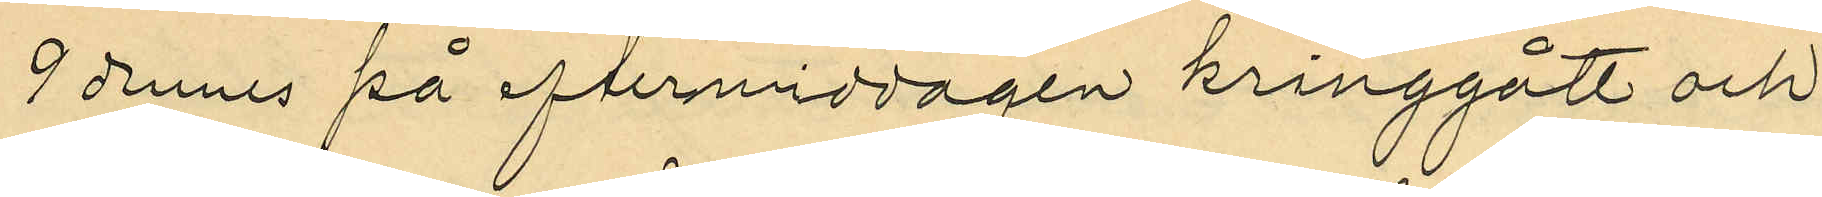9 dennes på eftermiddagen kringgått och
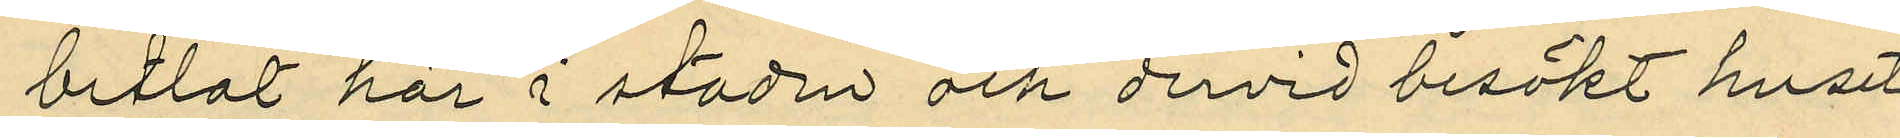betlat här i staden och dervid besökt huset
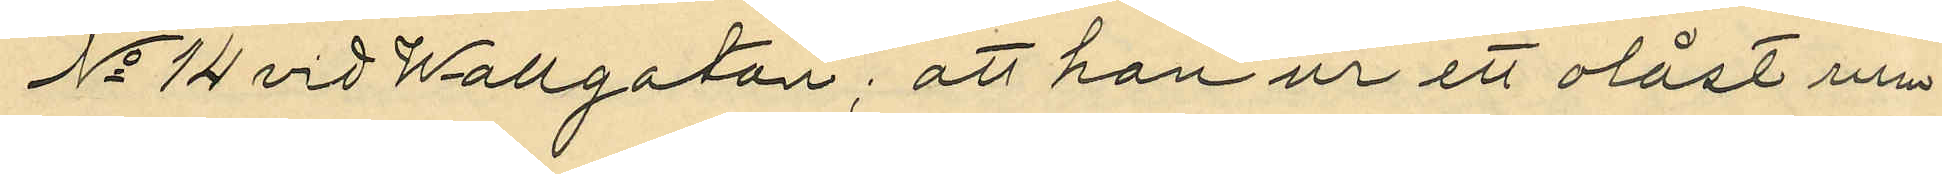No 14 vid Wallgatan; att han ur ett olåst urn
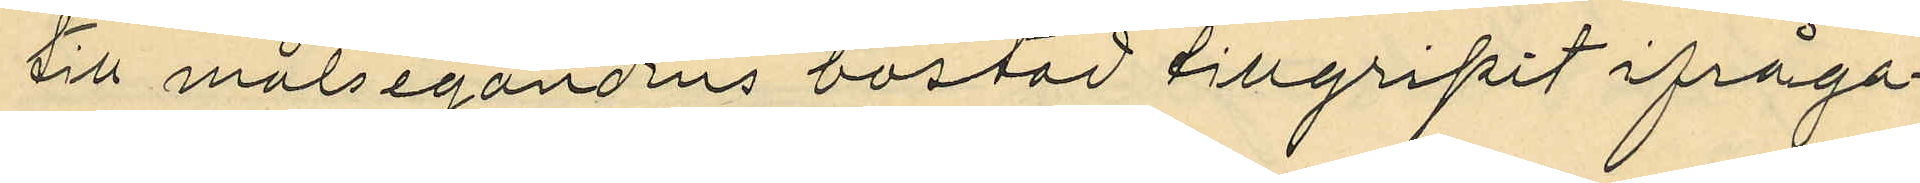till målsegandens bostad tillgripit ifråga¬
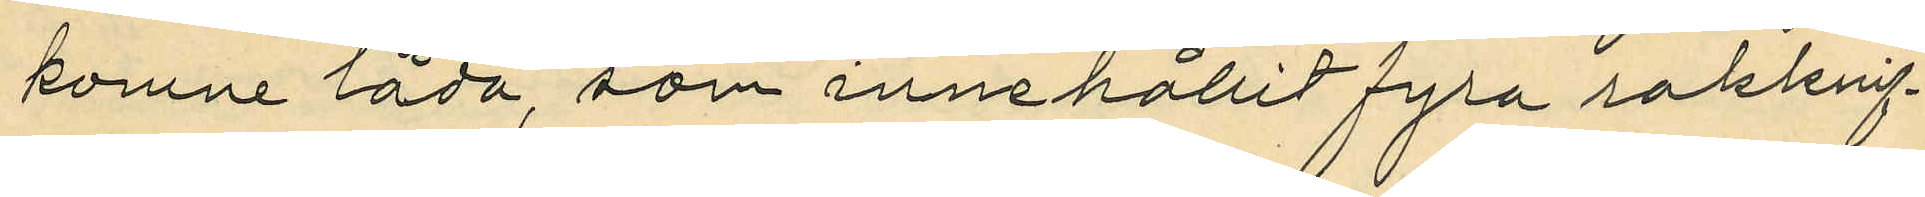komne låda, som innehållit fyra rakknif¬
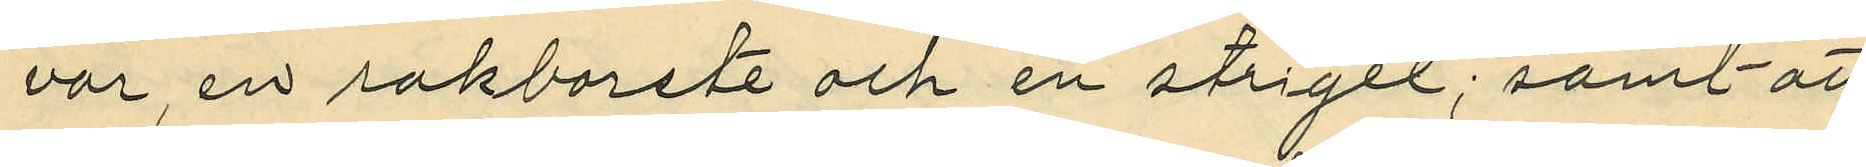var, en rakborste och en strigel; samt att
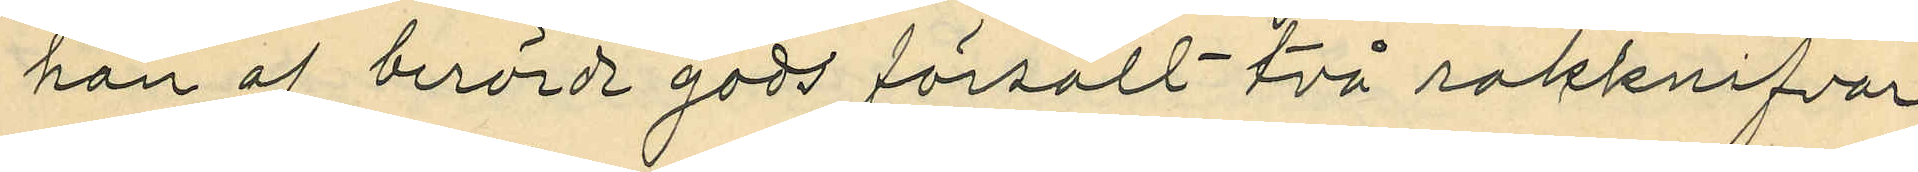han af berörde gods försålt två rakknifvar
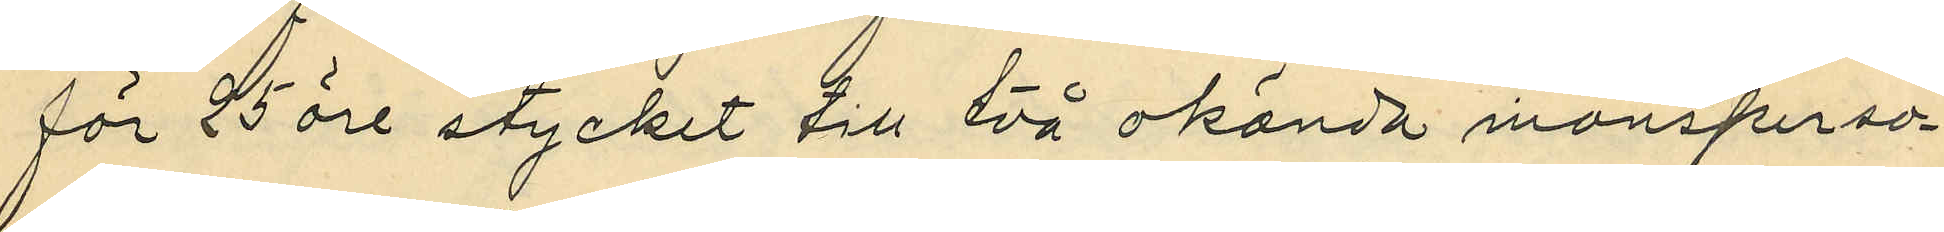för 25 öre stycket till två okända mansperso¬
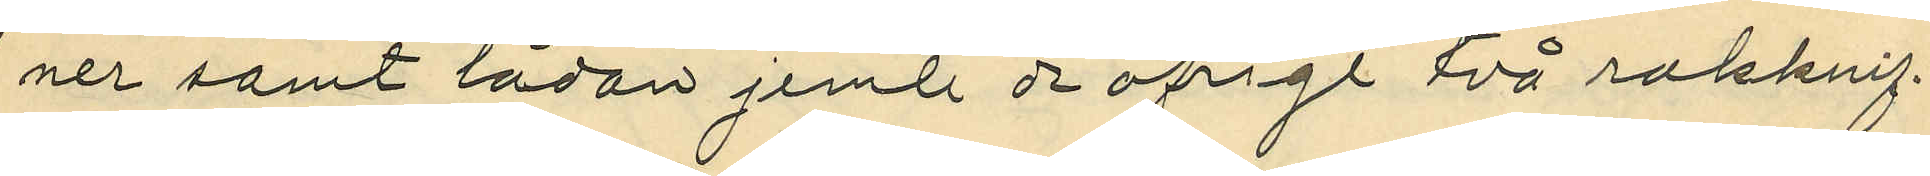ner samt lådan jemte de öfrige två rakknif¬
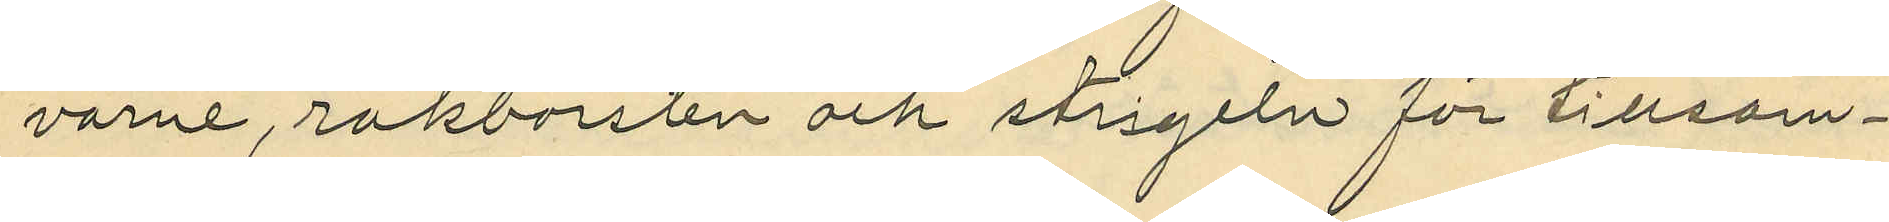varne, rakborsten och strigeln för tillsam¬
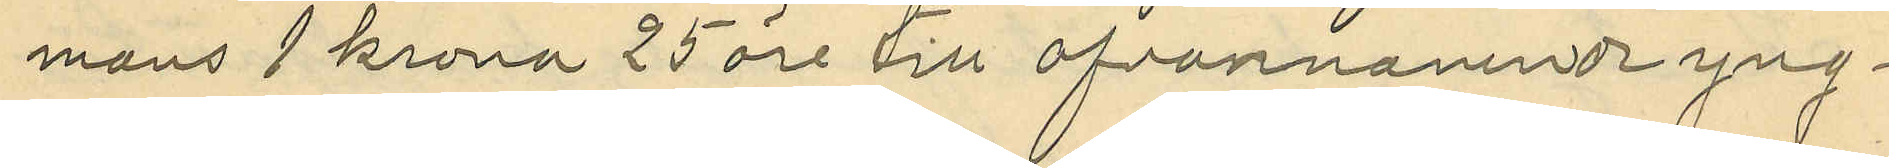mans 1 krona 25 öre till ofvannämnde yng¬
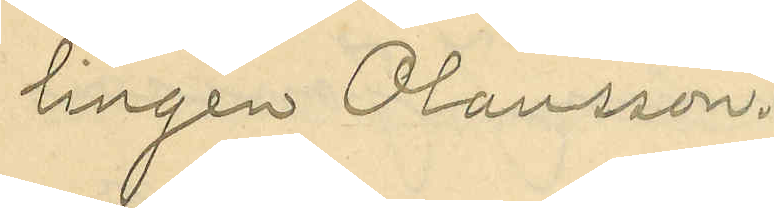lingen Olausson.
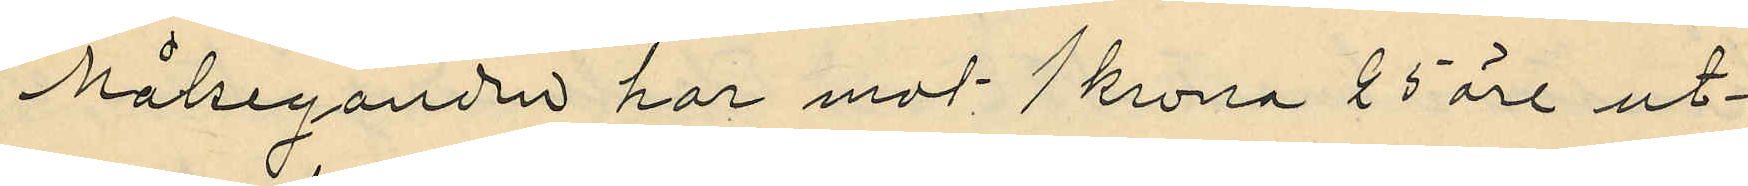Målseganden har mot 1 krona 25 öre ut¬
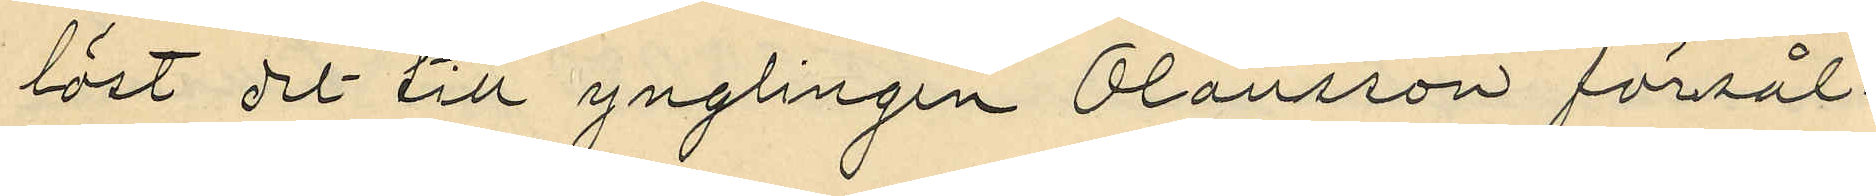löst det till ynglingen Olausson försål¬
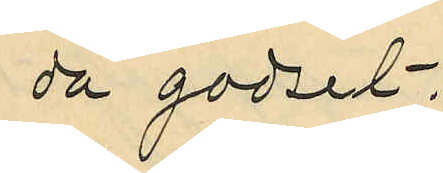da godset.
